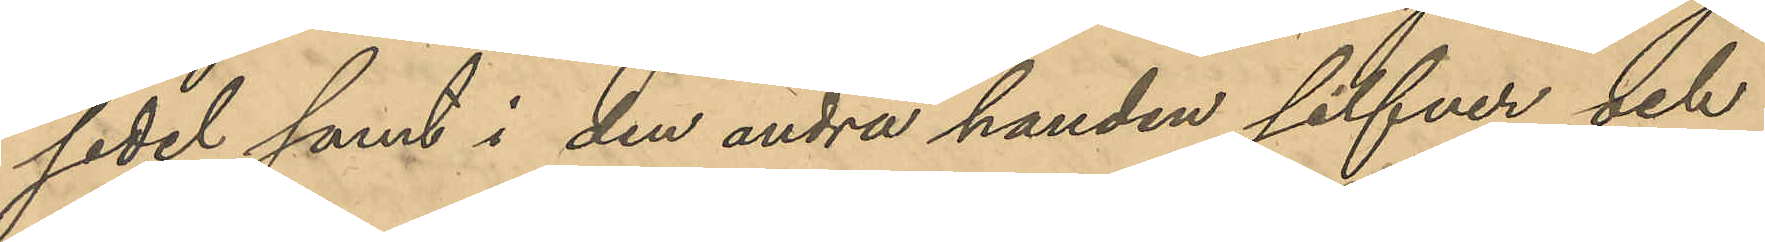sedel samt i den andra handen silfver och
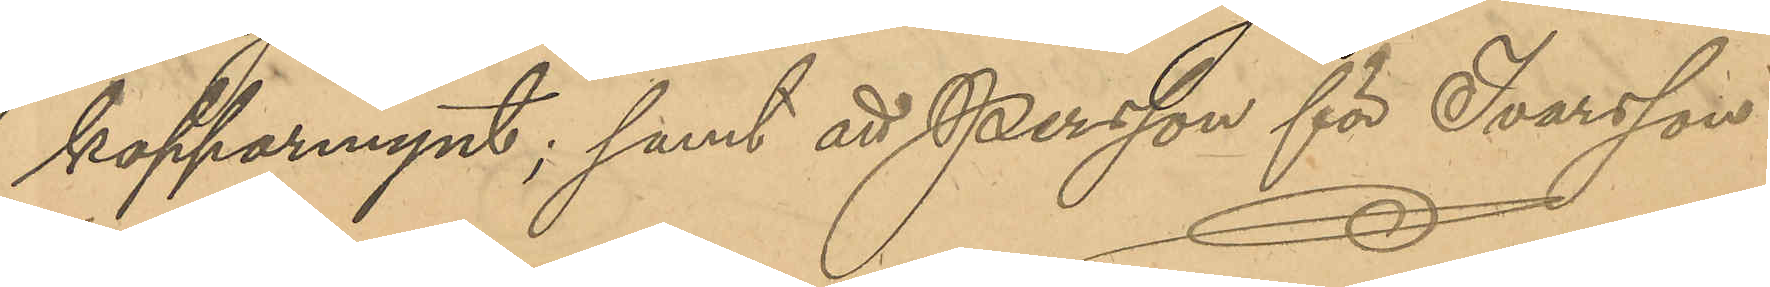kopparmynt; samt att Persson för Ivarsson
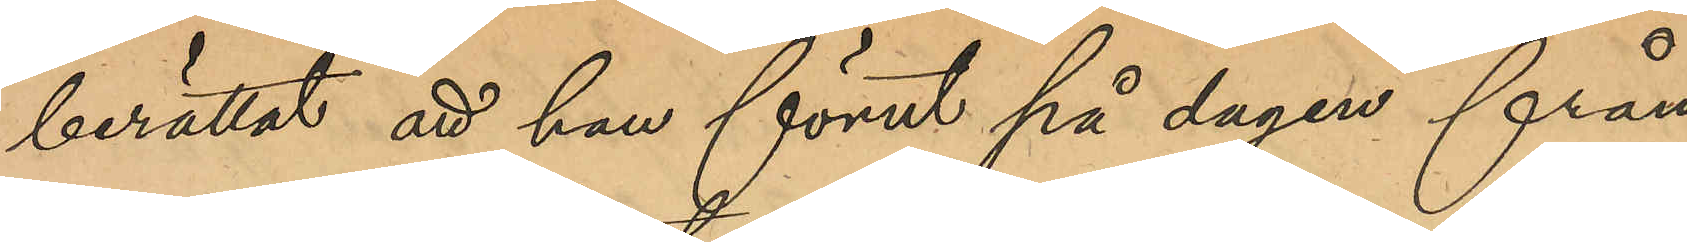berättat att han förut på dagen från
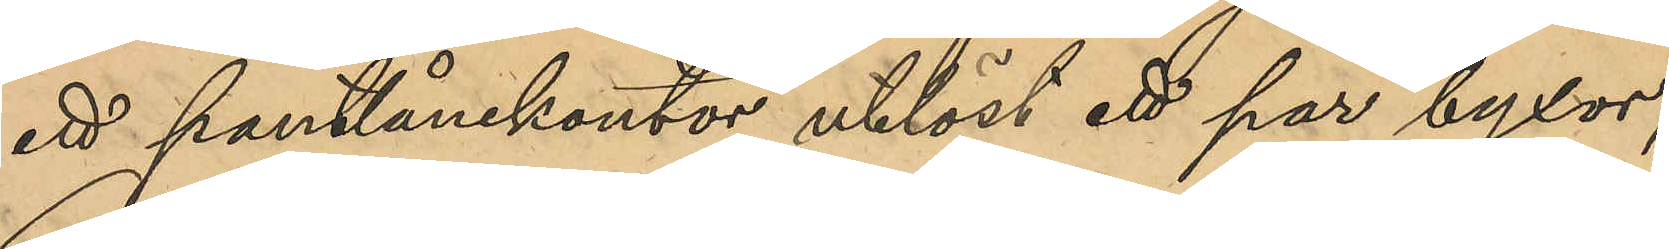ett pantlånekontor utlöst ett par byxor;
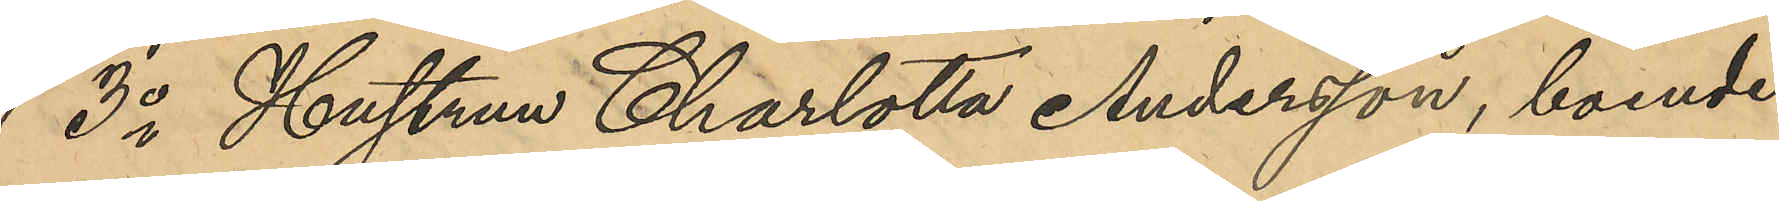3o Hustrun Charlotta Andersson, boende 
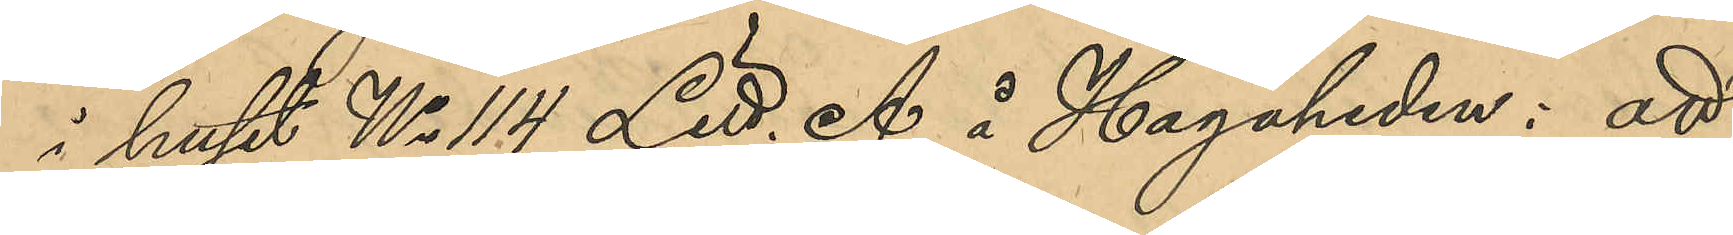i huset No 114 Litt. A i Hagaheden: att
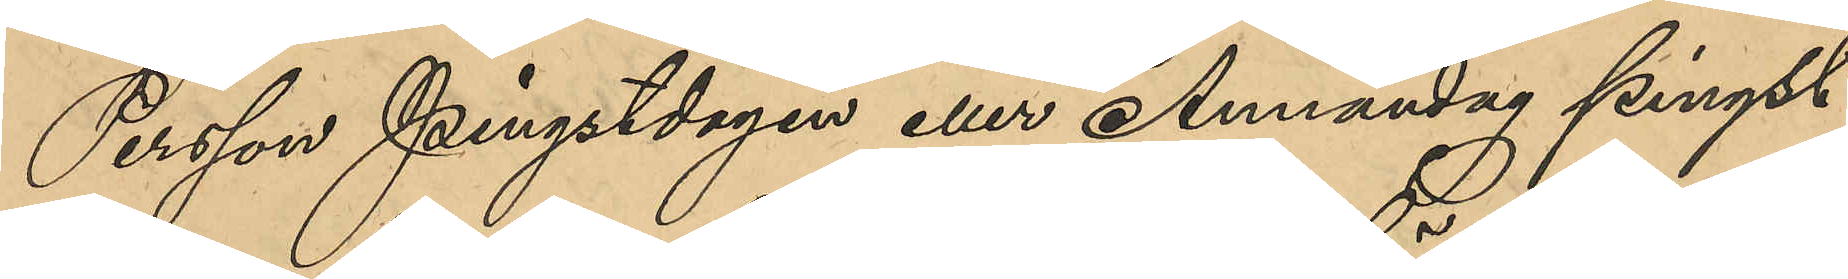Persson Pingstdagen eller Annandag pingst
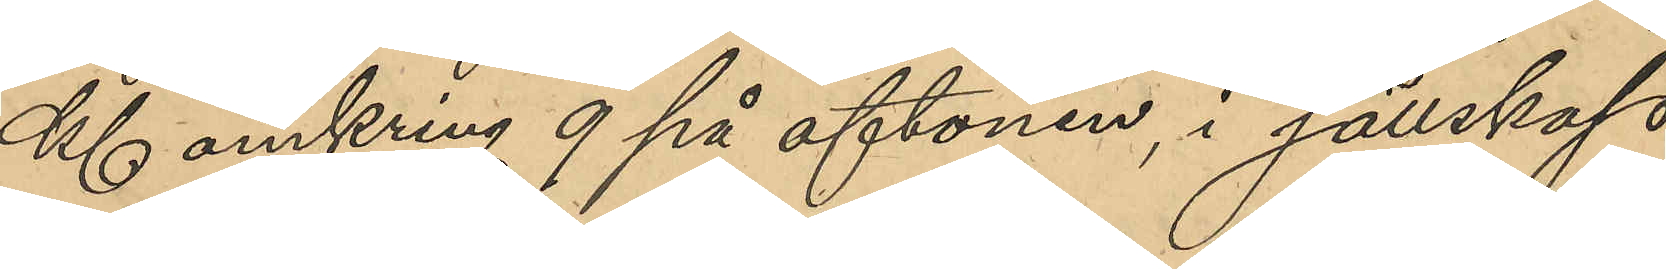Kl omkring 9 på aftonen, i sällskap
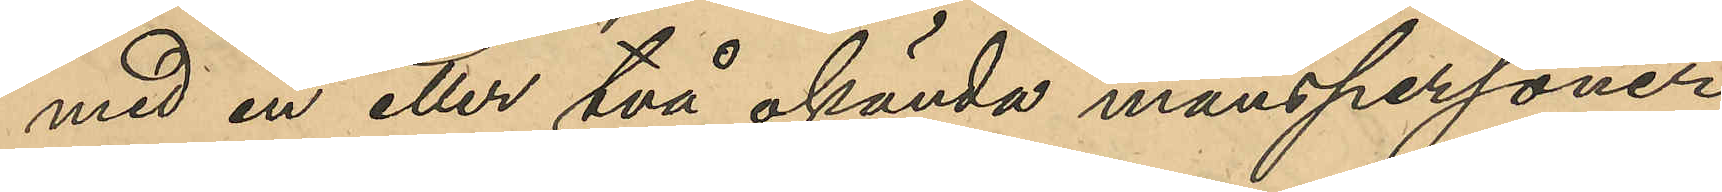med en eller två okända manspersoner
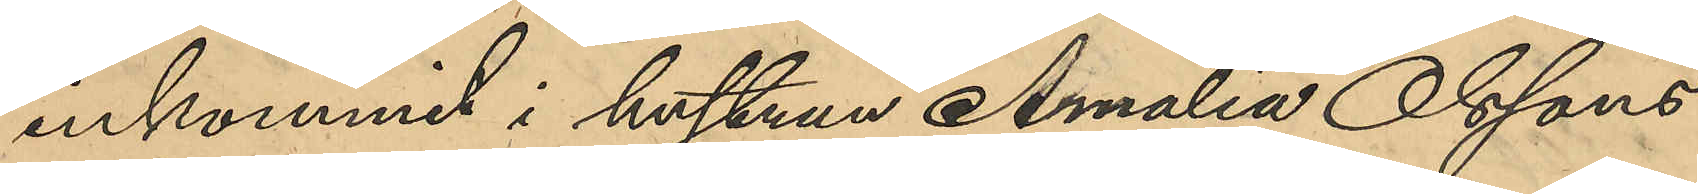inkommit i hustrun Amalia Olssons
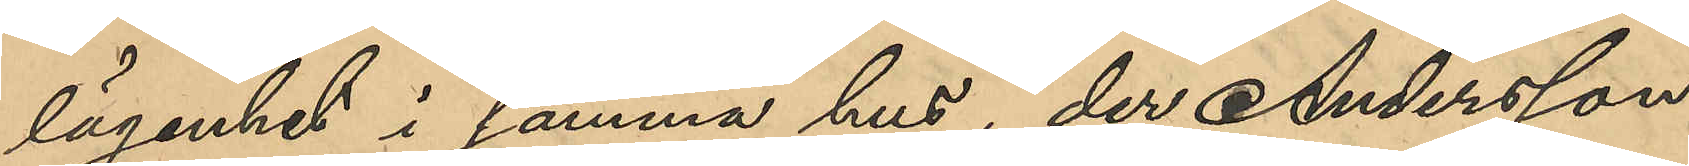lägenhet i samma hus, der Andersson
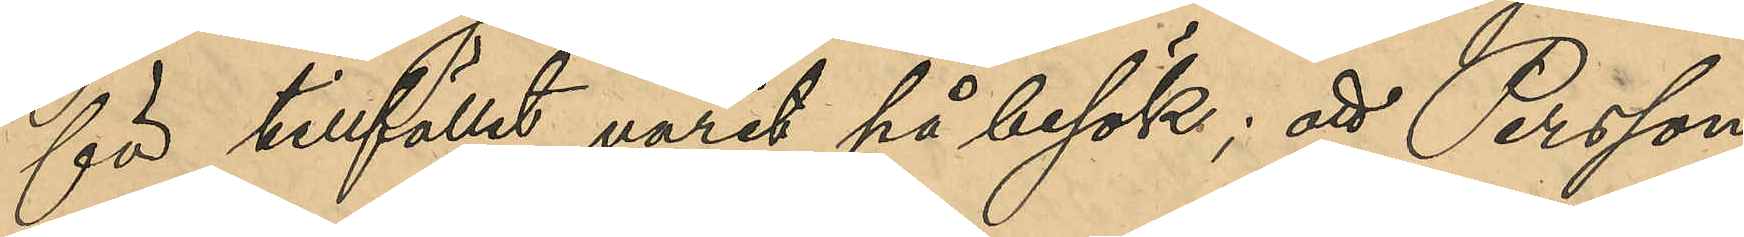för tillfället varit på besök; att Persson
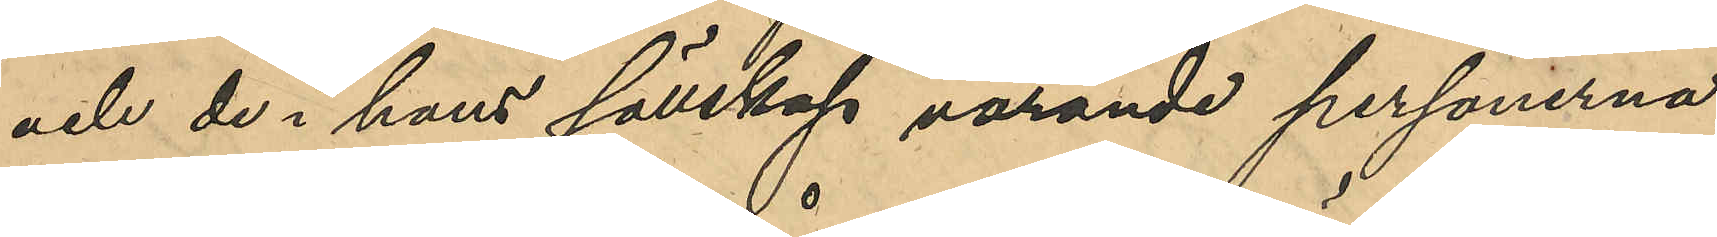och de i hans sällskap varande personerna
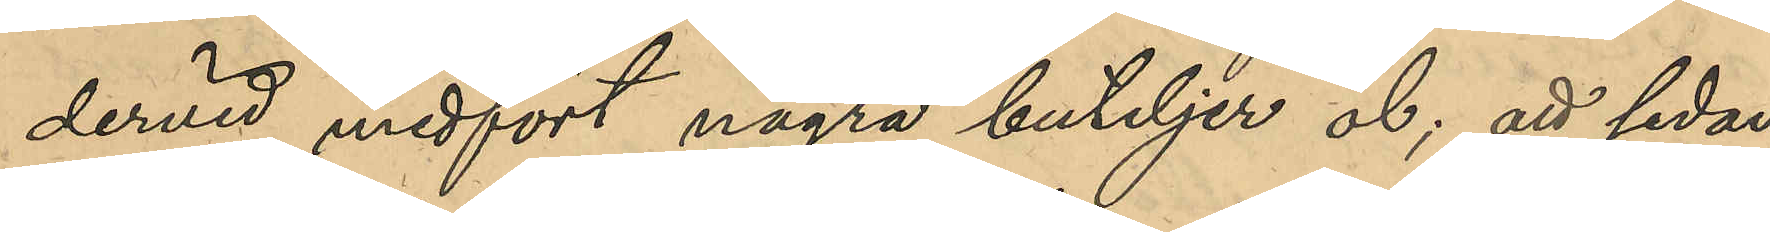dervid medfört några buteljer öl; att sedan
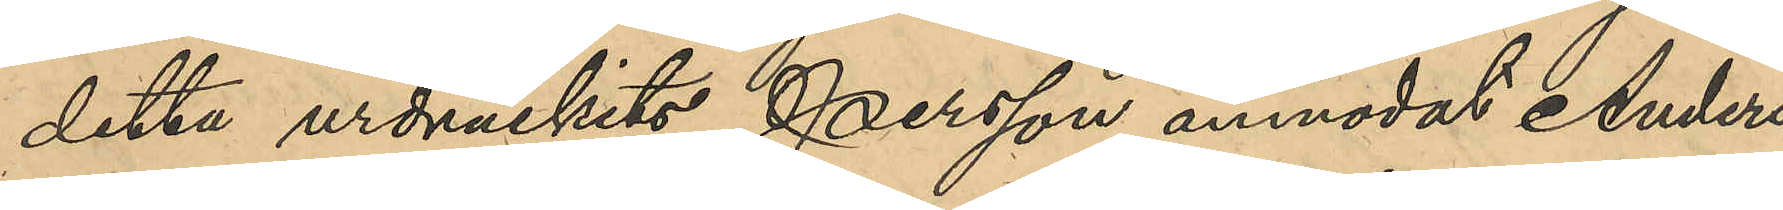detta urdruckits, Persson anmodat Anders¬
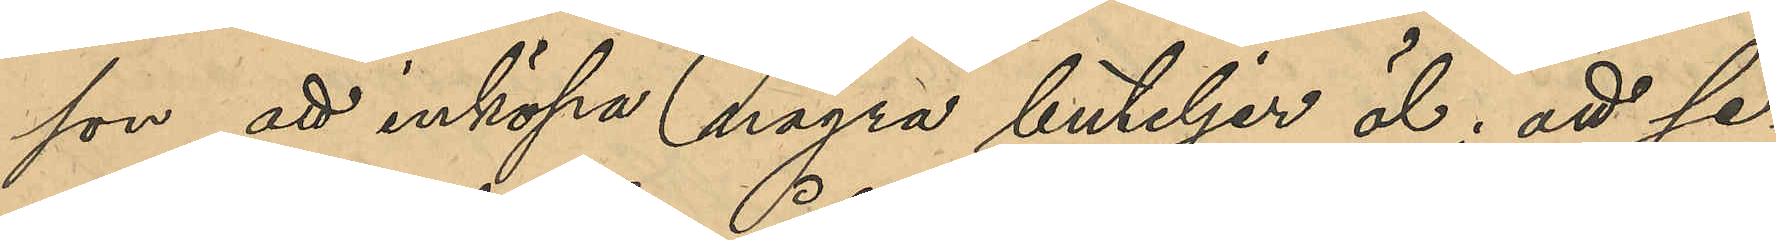son att inköpa några buteljer öl; att se¬
